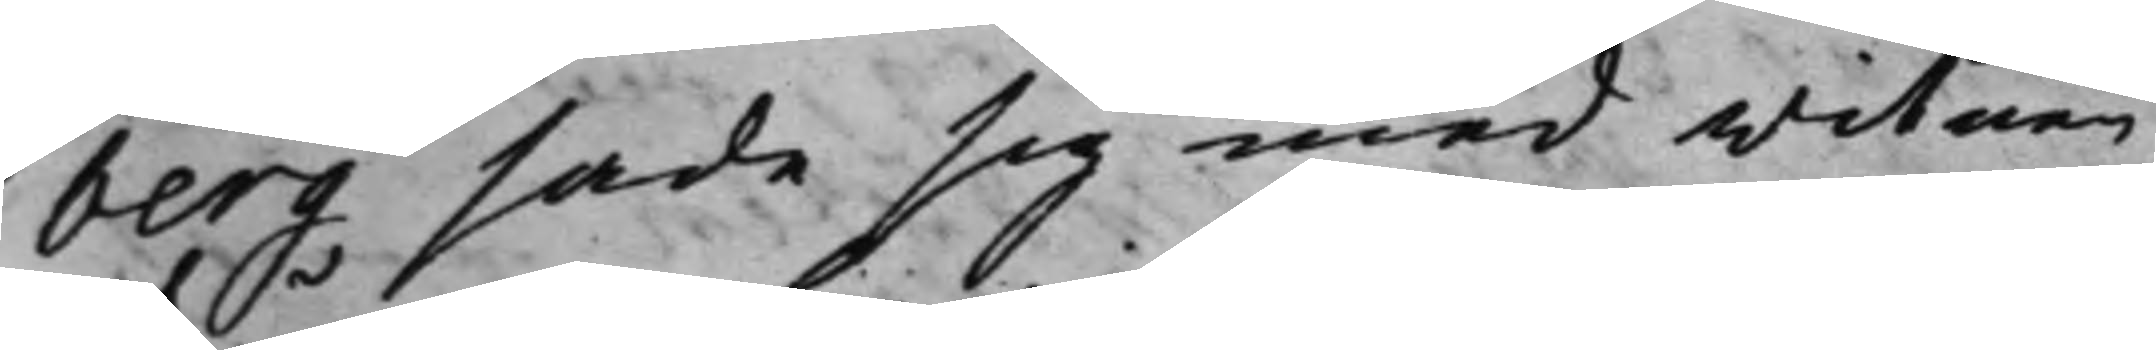berg sade sig med witnen
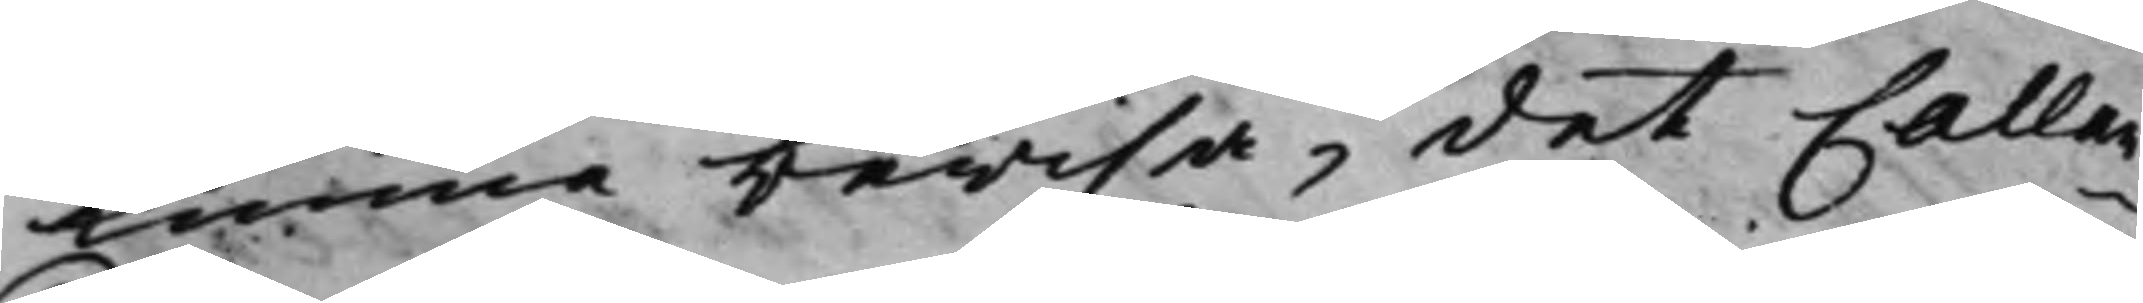kunna bewisa, det Callan¬
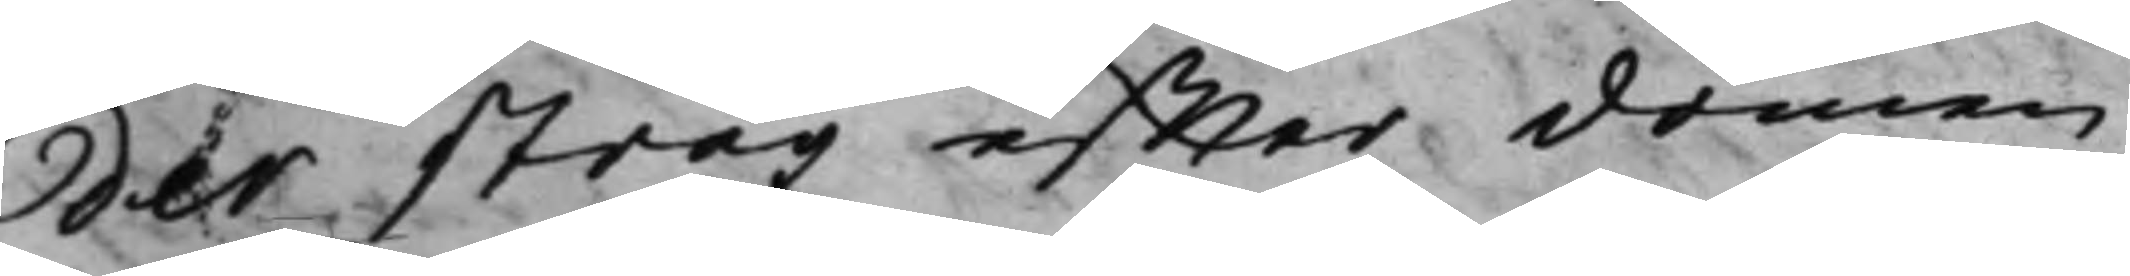der strax effter domen
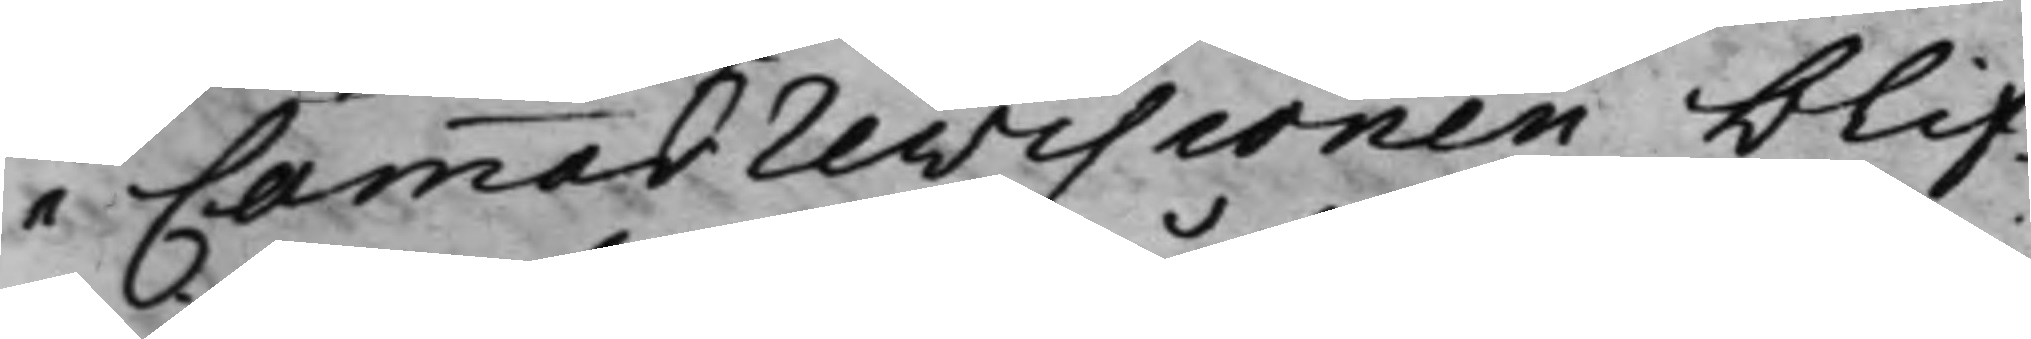i Cammarrevisionen blif¬
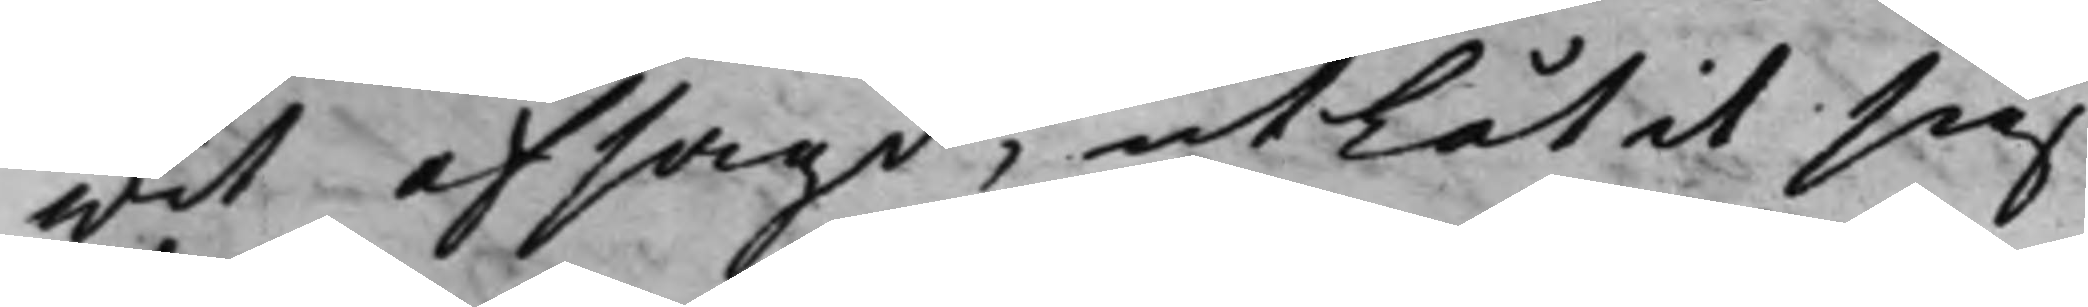wit afsagd, utlåtit sig
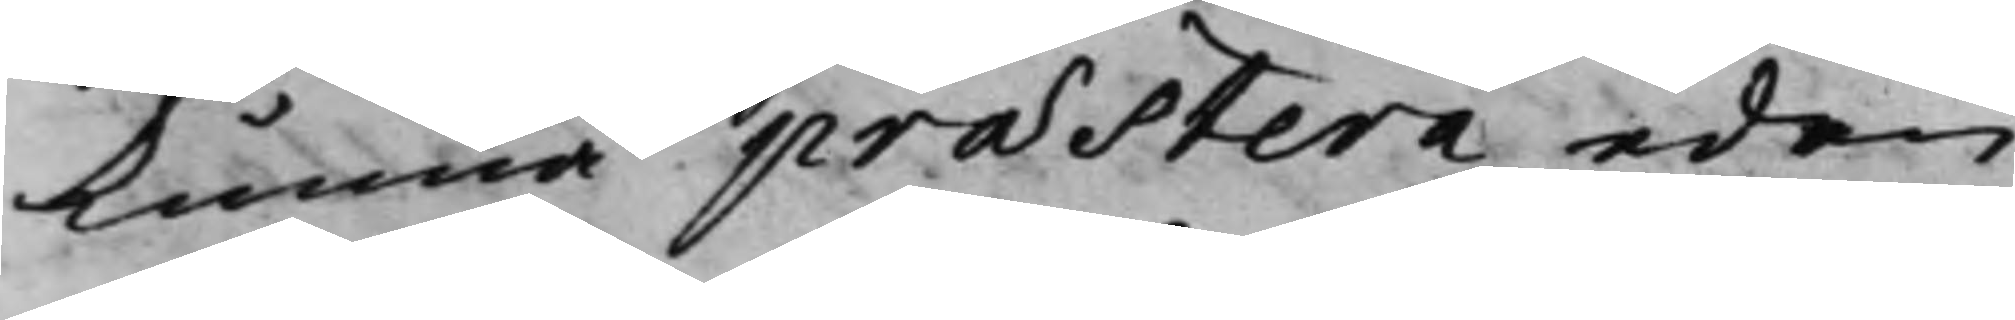kunna præstera eden,
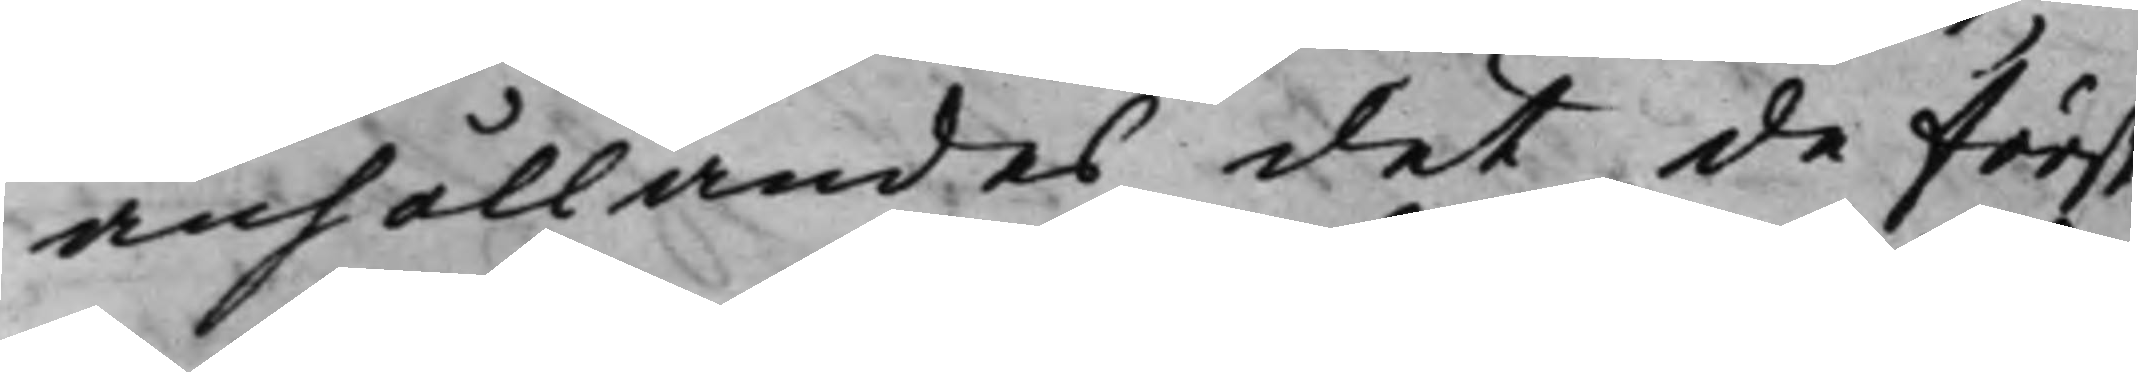anhållandes det de först
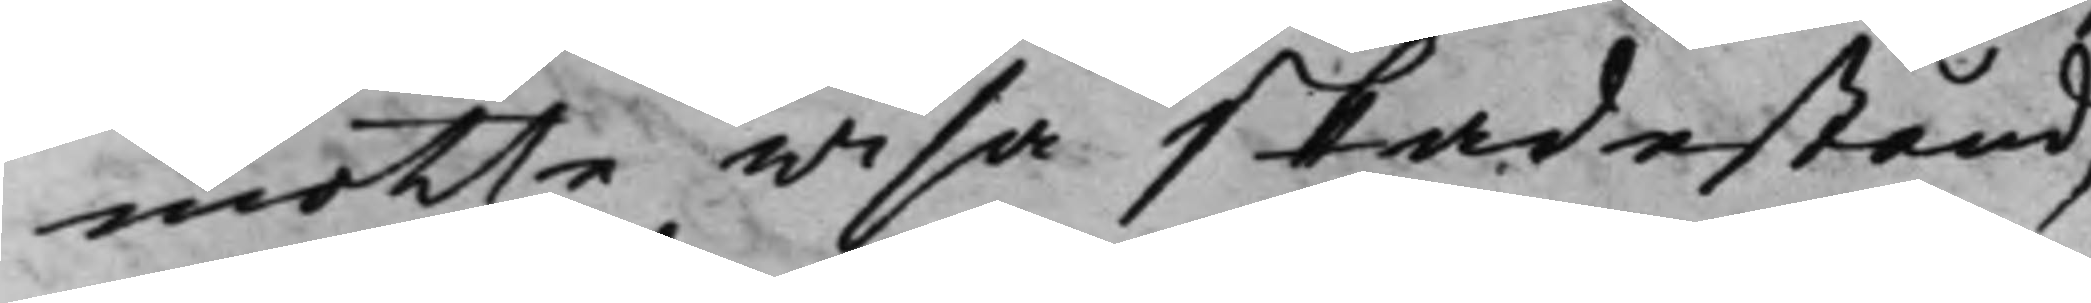motte wisa skadestånd,
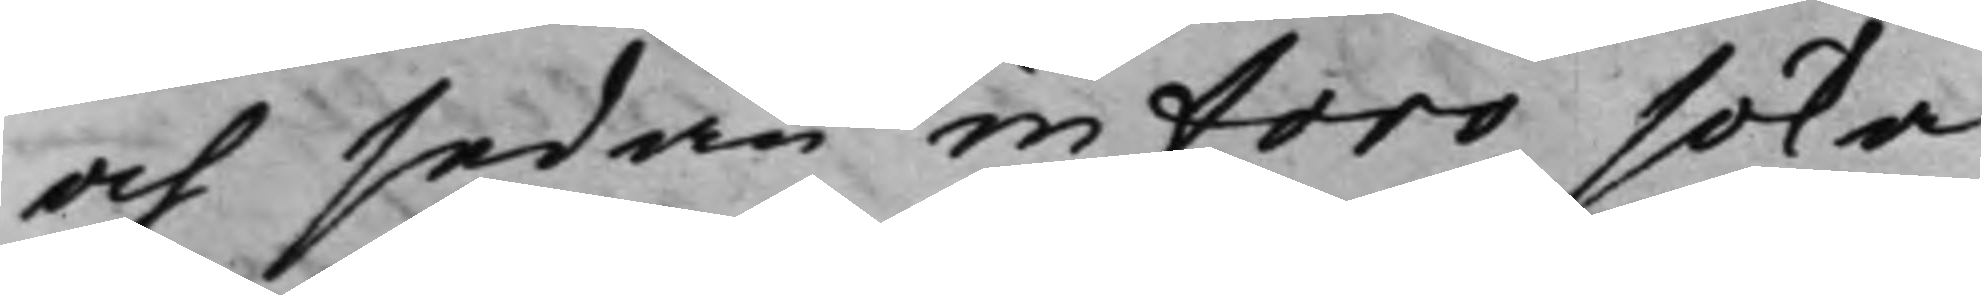och sedan in foro söka
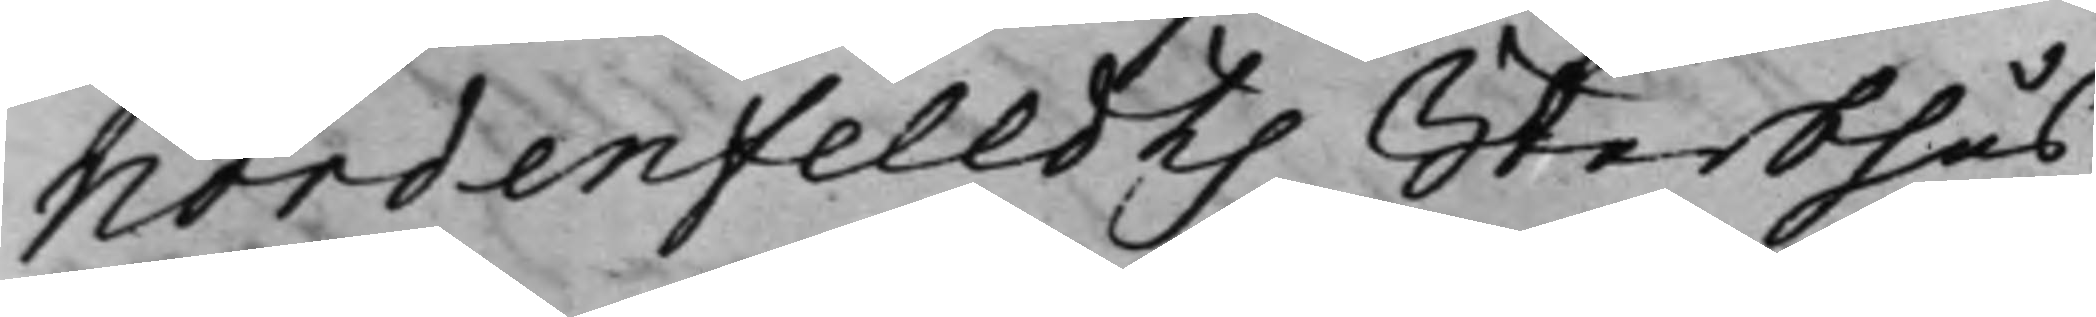Nordenfeldts Sterbhus
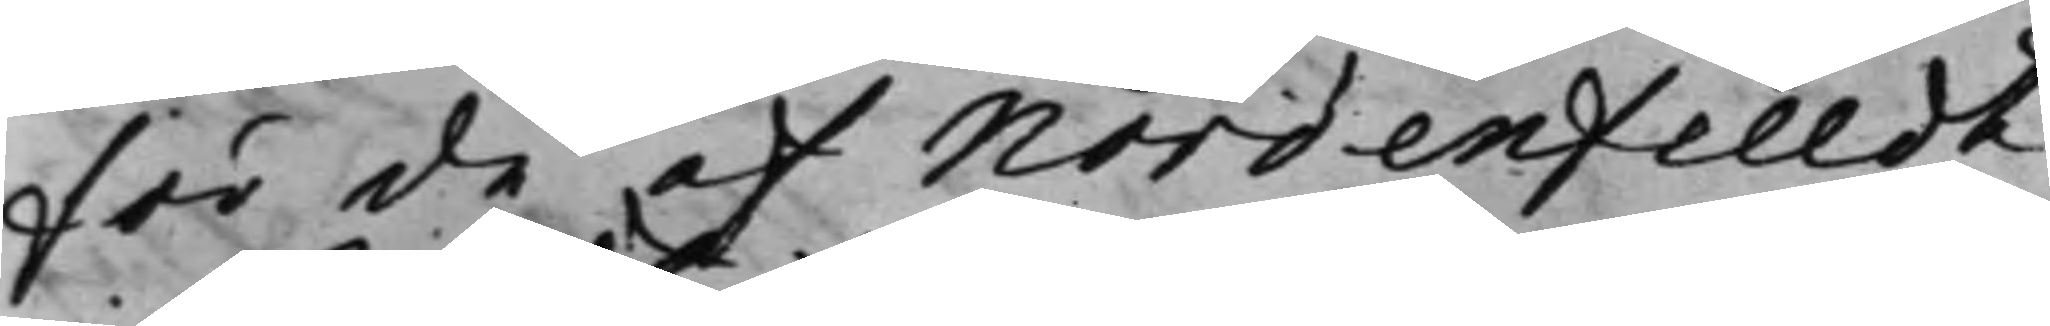för de af Nordenfeldt
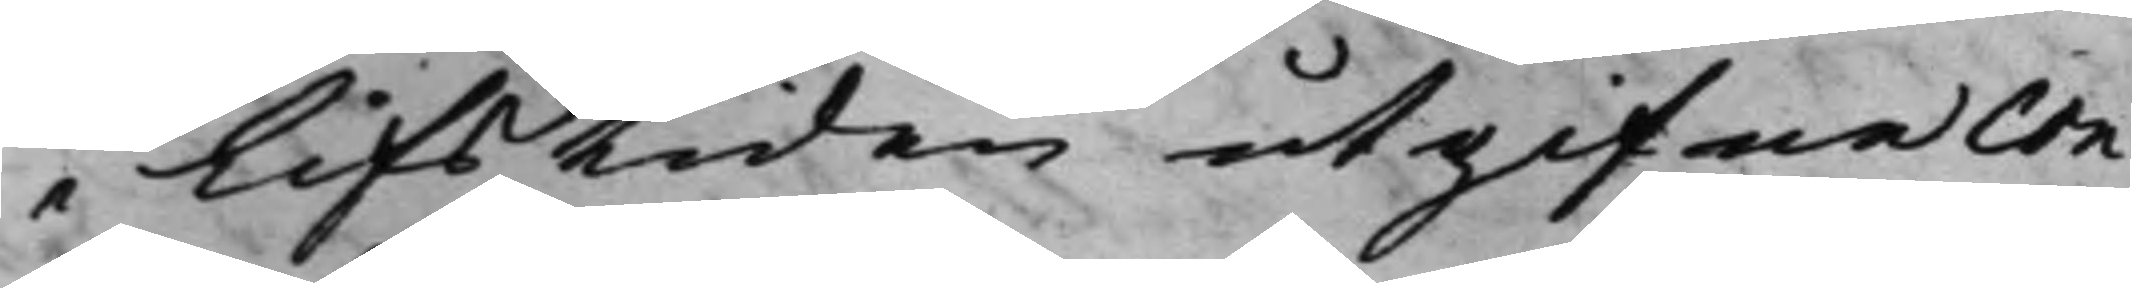i lifstiden utgifne con¬
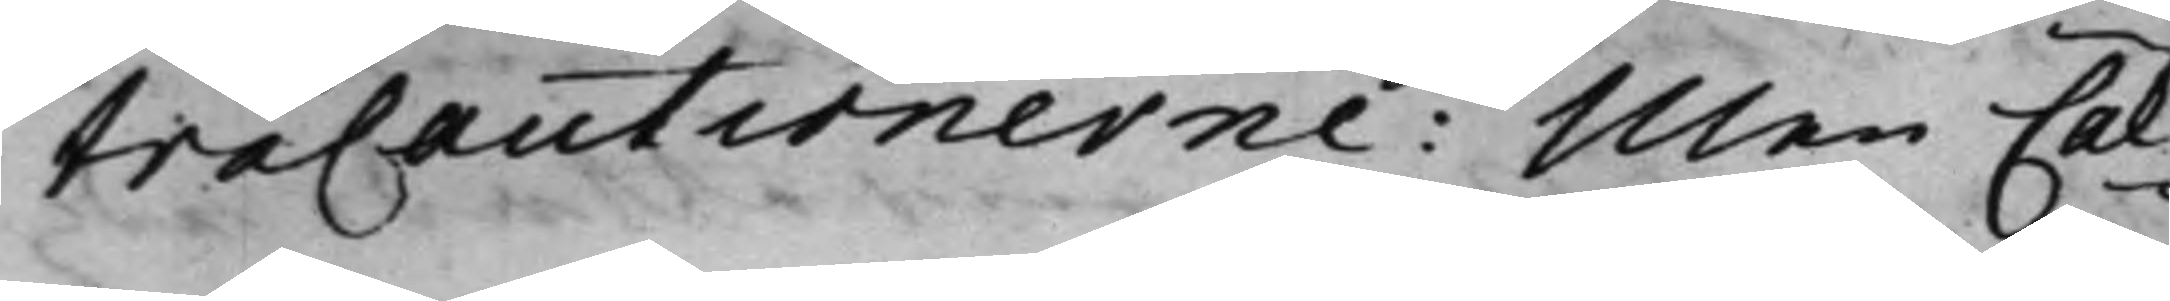tracautionerne. Men Cal¬
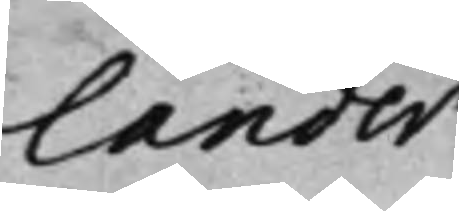lander
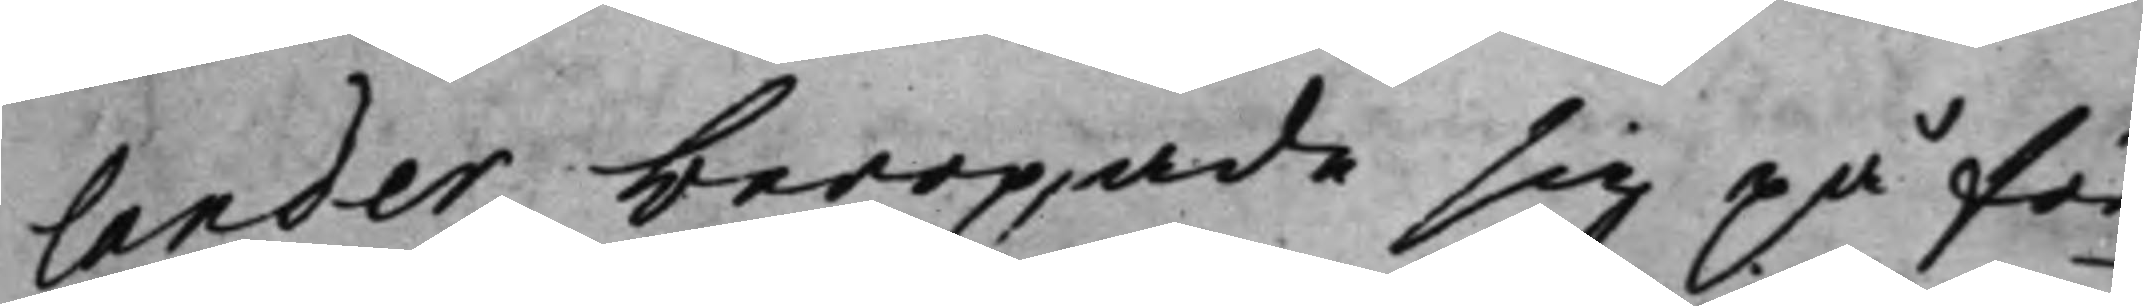lander beropade sig på för¬
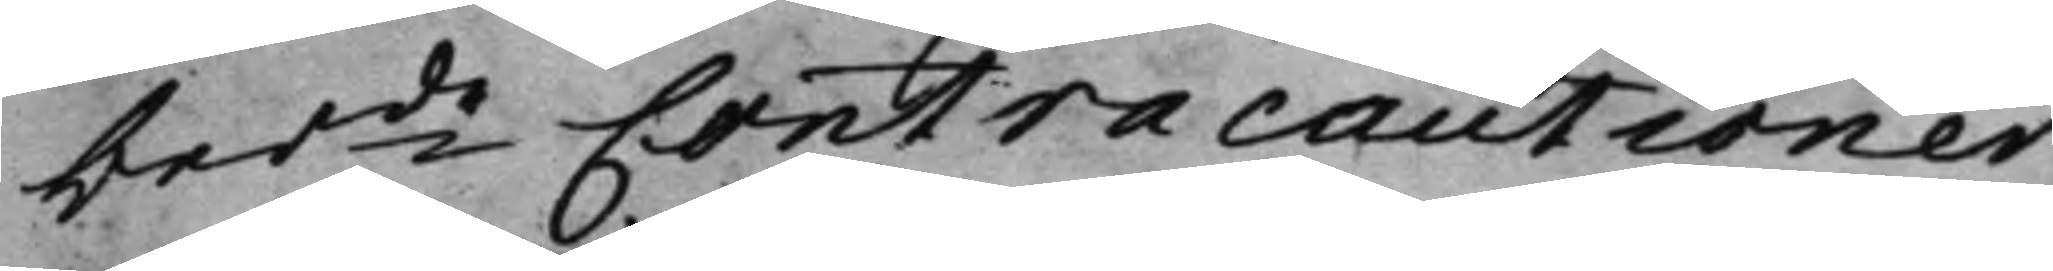berde Contracautioner
